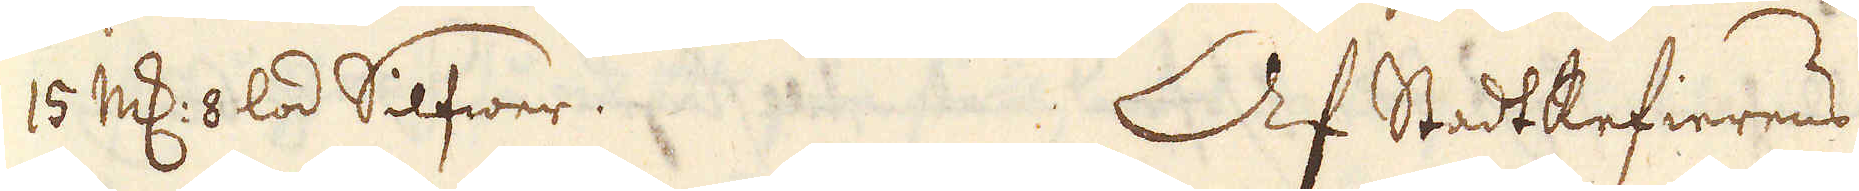15 marker 8 lod Silfwer. Af StadtRefierens
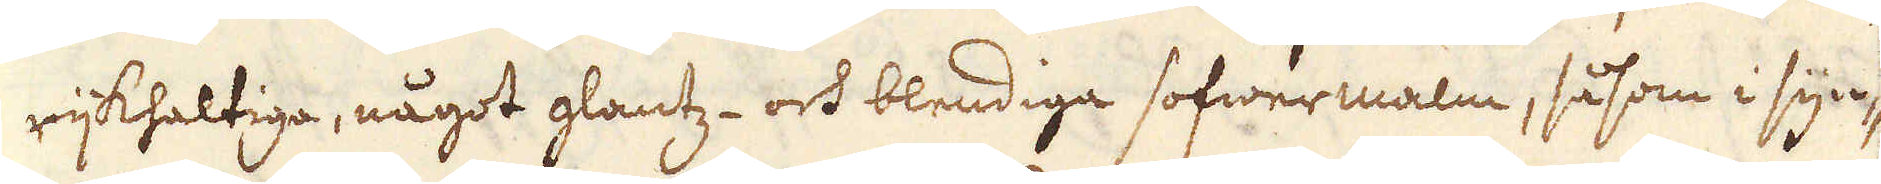rijkhaltiga, något glantz- och blendiga sofwermalm, såsom i syn-
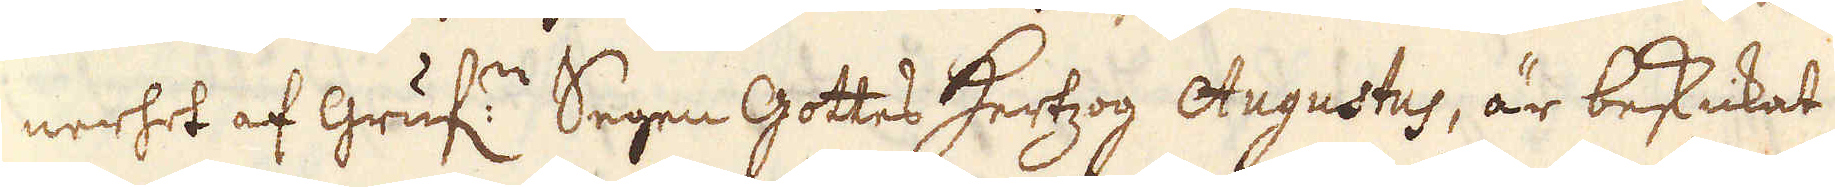nerhet af Gruf:n Segen Gottes Hertzog Augustus, är beskickat
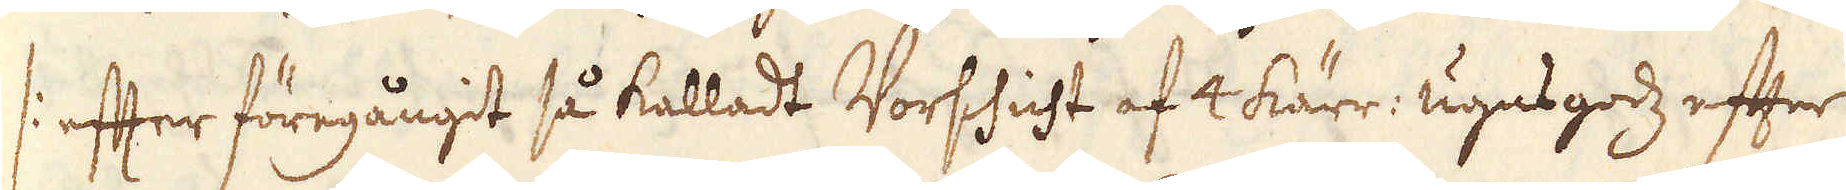/: efter föregångit så kalladt Vorschicht af 4 kärr: ugnsgodz efter
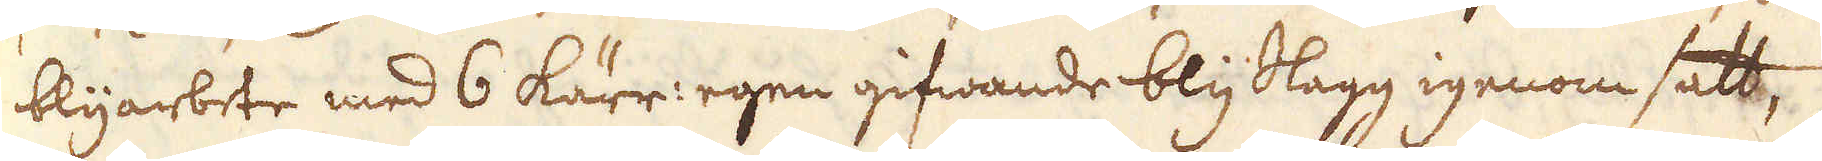blyarbete med 6 kärr: egen gifwande blySlagg igenom satt,
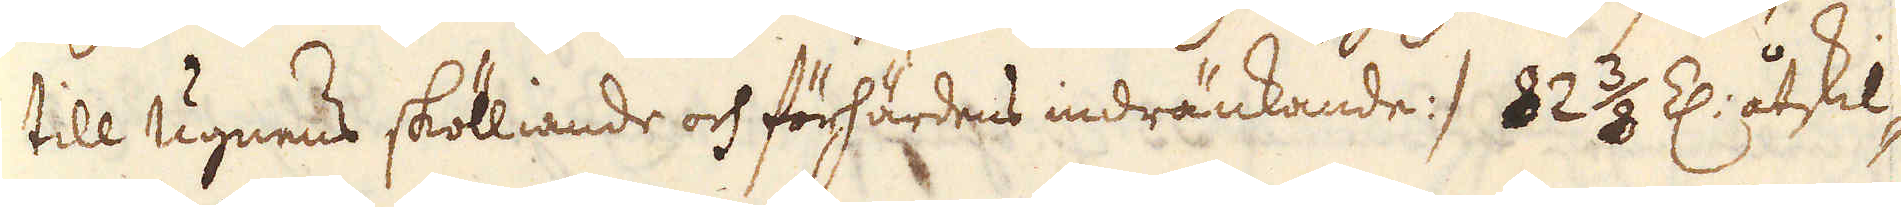till ugnens skölliande och förhärdens indränkande :/ 82 3/8 Z: åtskil-
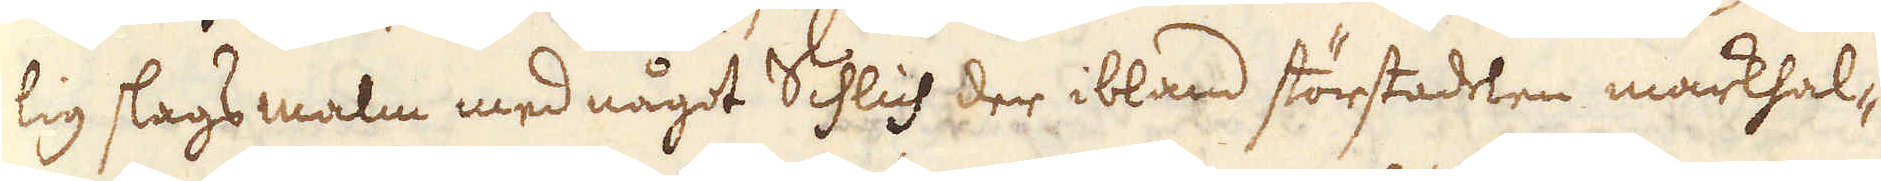lig slags malm med något Schlich der ibland störstadelen markhal-
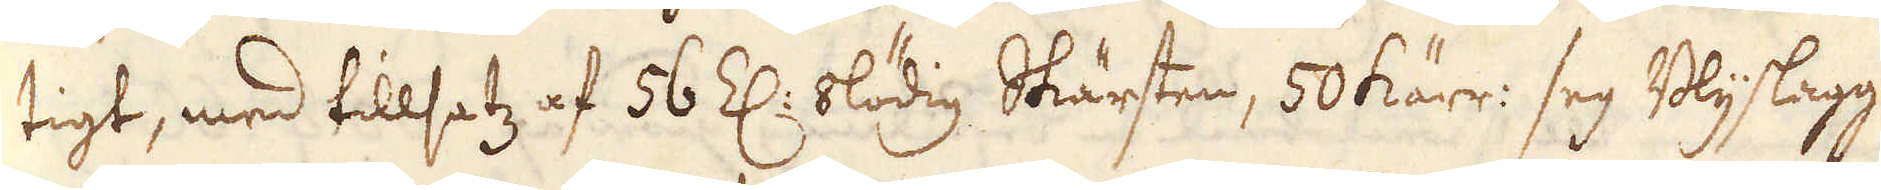tigt, med tillsatz af 56 Z: blödig Skärsten, 50 kärr: seg Blyslagg
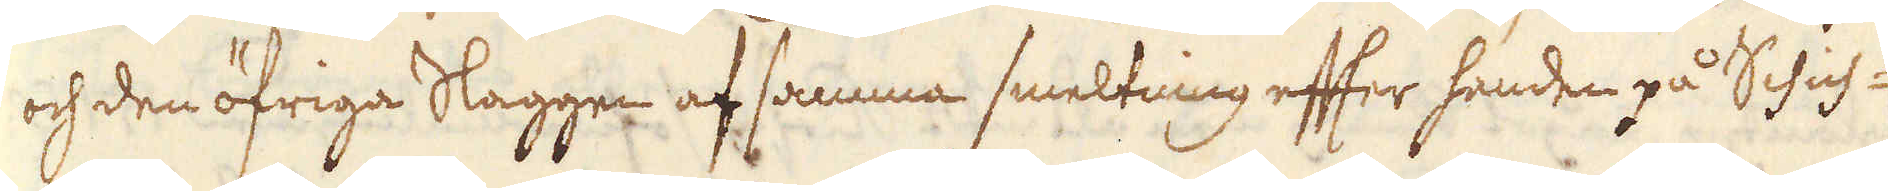och den öfriga Slaggen af samma smeltning efter handen på Schich-
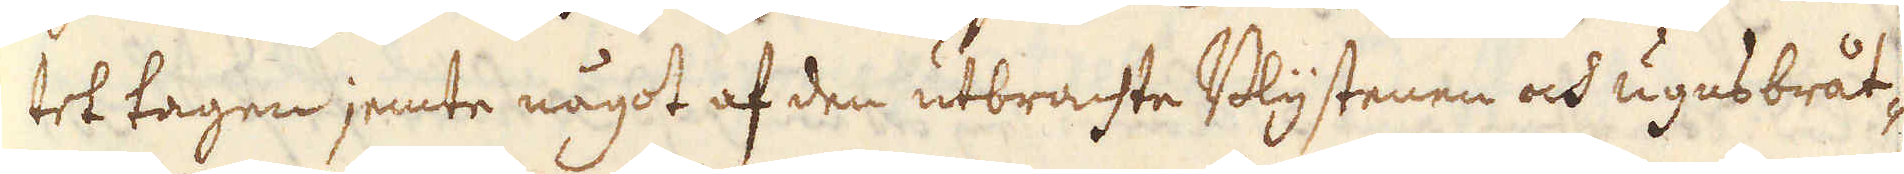tet tagen jemte något af den utbrachte Blystenen och ugnsbråt-
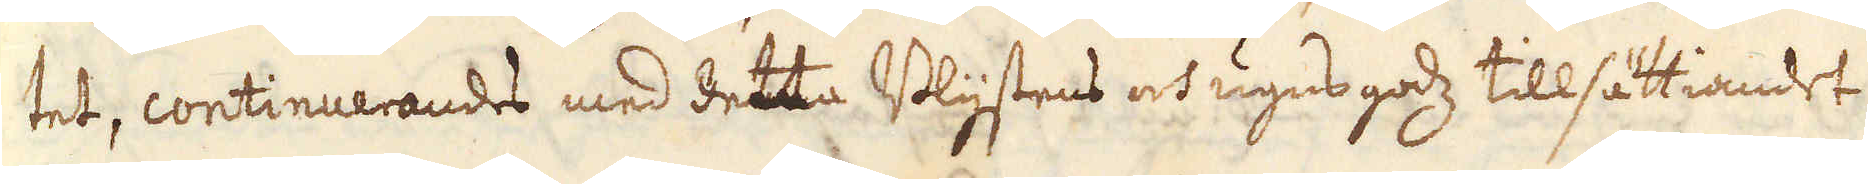tet, continuerandes med dettta Blystens och ugns godz tillsättiandet
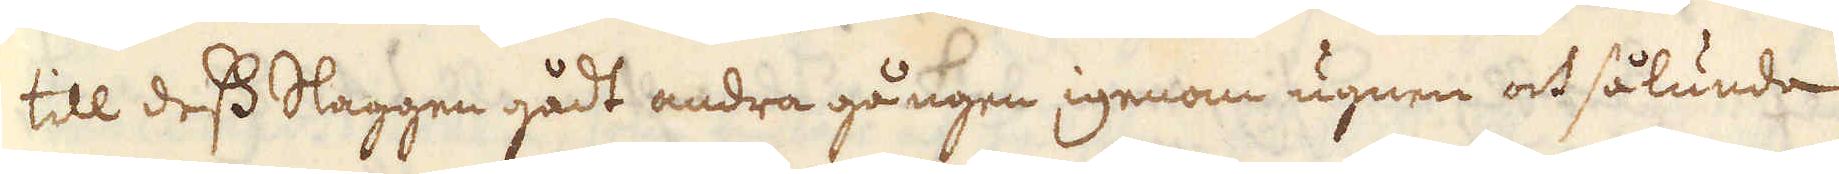till dess Slaggen gådt andra gången igenom ugnen och sålunda
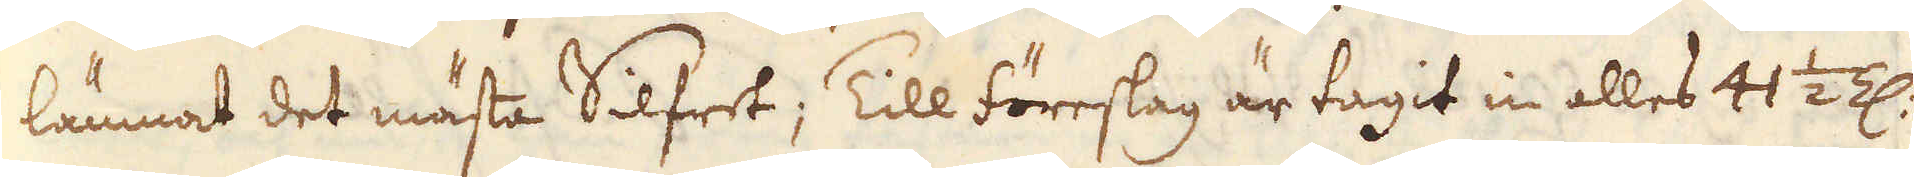lämnat det mästa Silfret; Till föreslag är tagit in alles 41 1/2 Z:
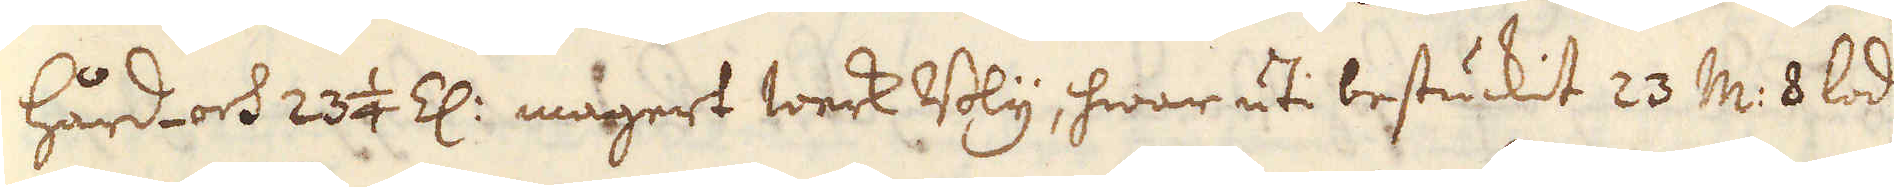hård- och 23 1/4 Z: magert werk Bly, hwar uti bestuckit 23 m: 8 lod
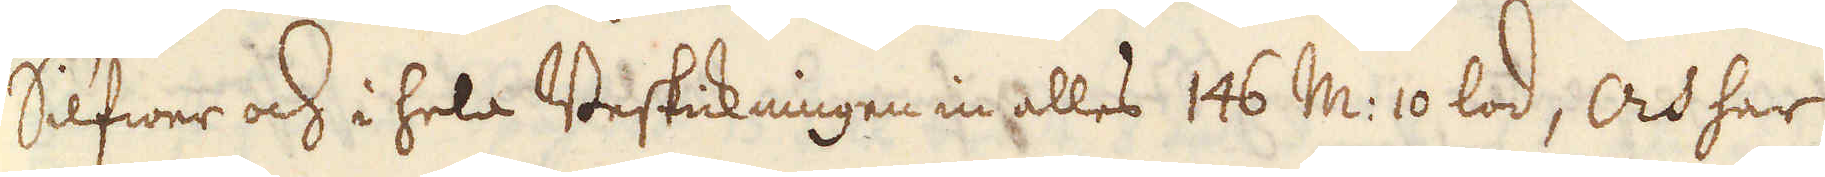Silfwer och i hela Beskickningen in alles 146 m: 10 lod, Och har
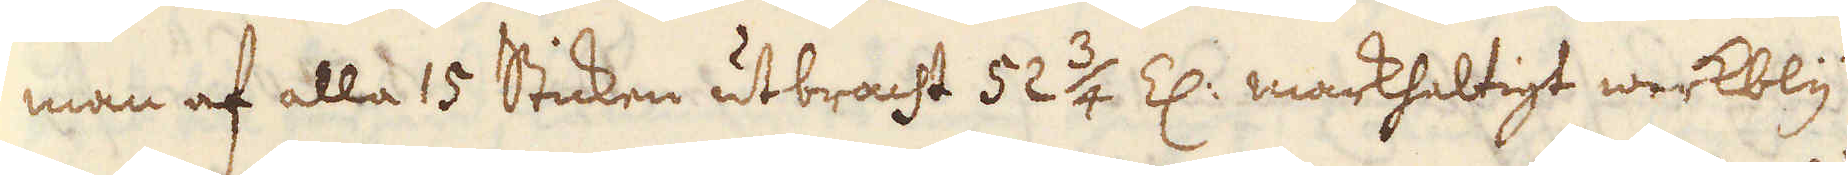man af alla 15 Sticken utbracht 52 3/4 Z: markhaltigt werkbly
